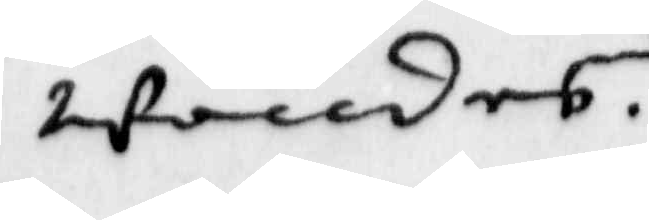wandes.
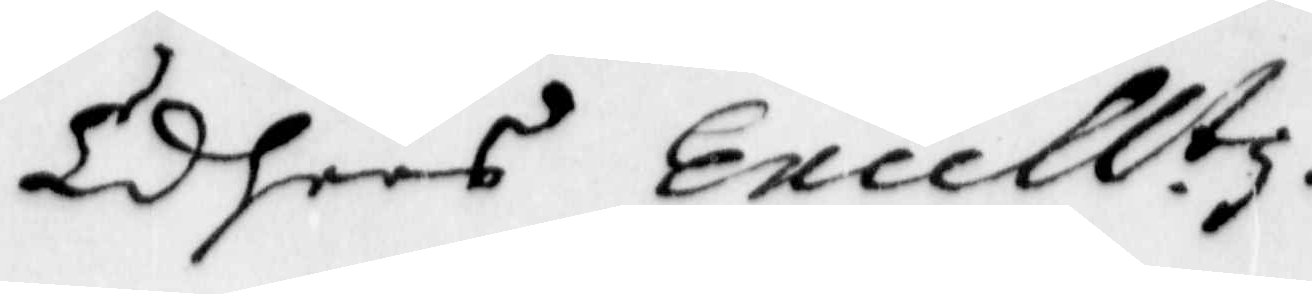Eders Excellt.z.
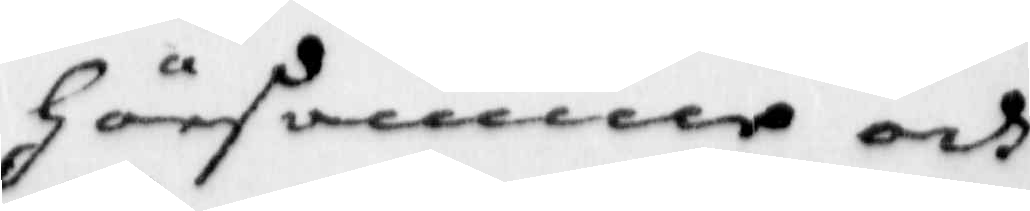Hörsamma och
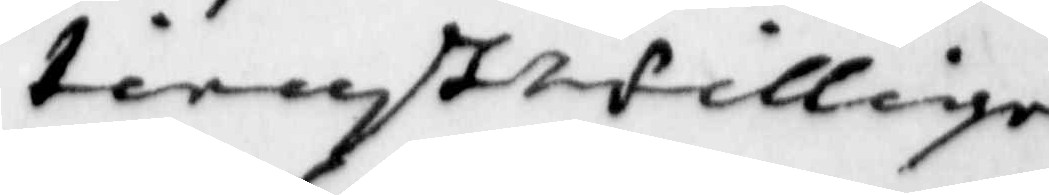tienstwillige
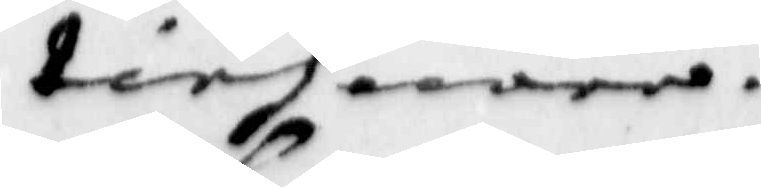tienare.
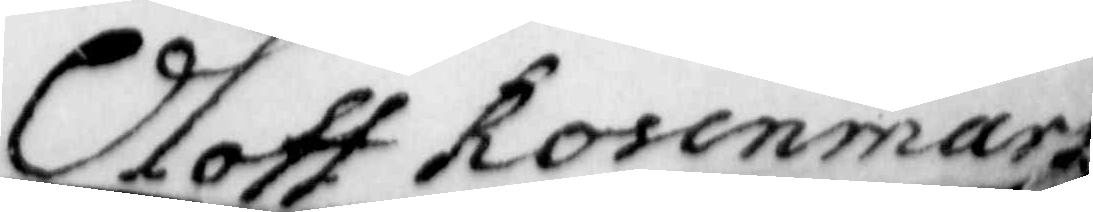Oloff Rosenmark
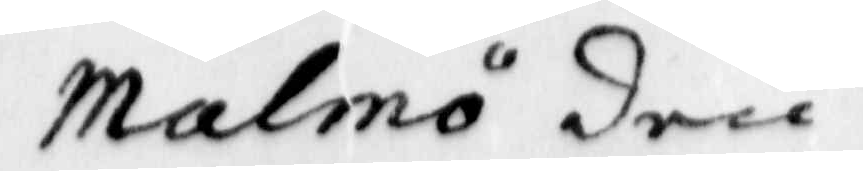Malmö den
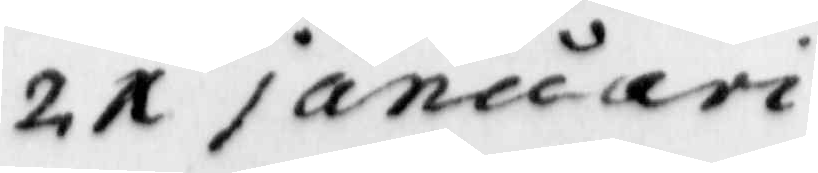21 januari
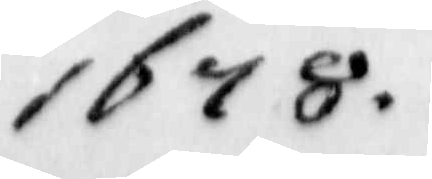1678.
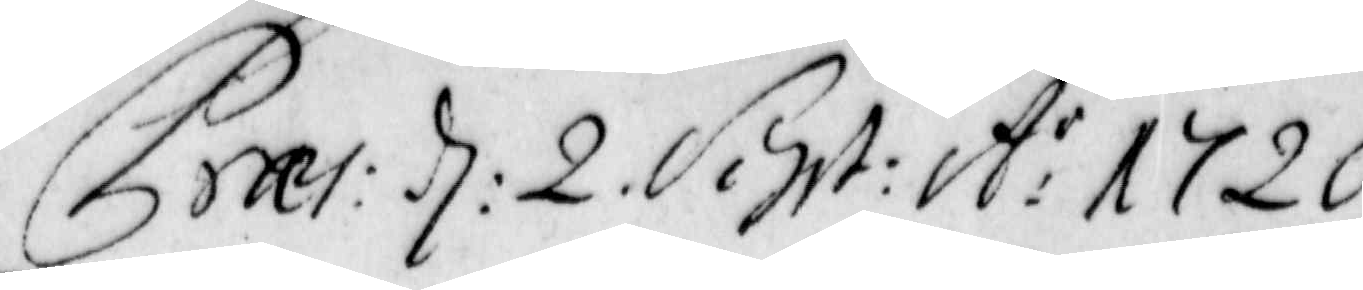Praes: d: 2. Sept: A:o 1720.
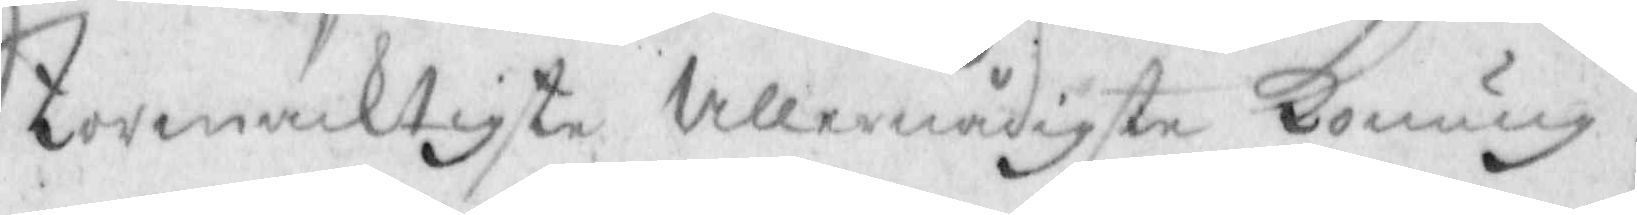Stormäcktigste Allernådigste Konung
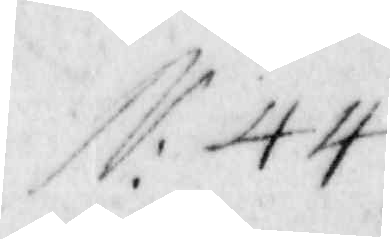N: 44
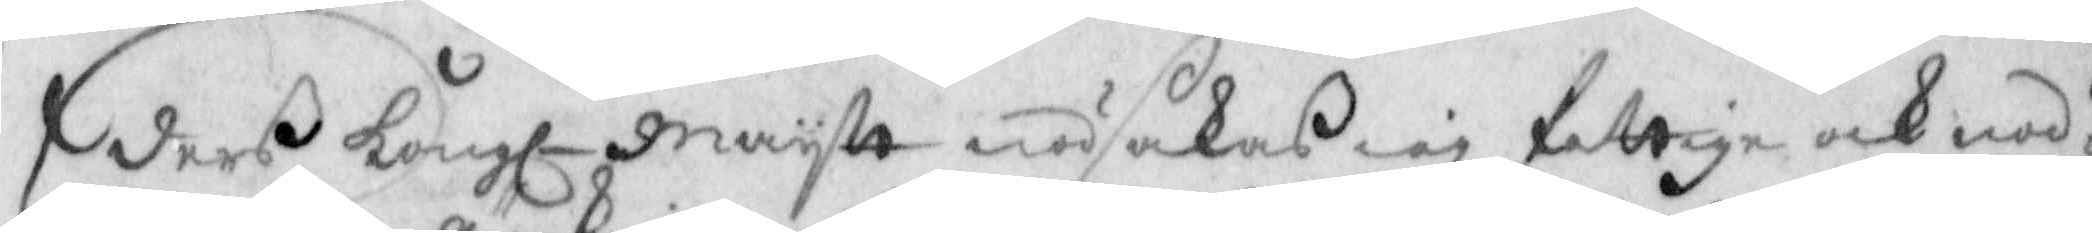Eders Kongl. Maystt nödsakas iag fattige och nöd¬
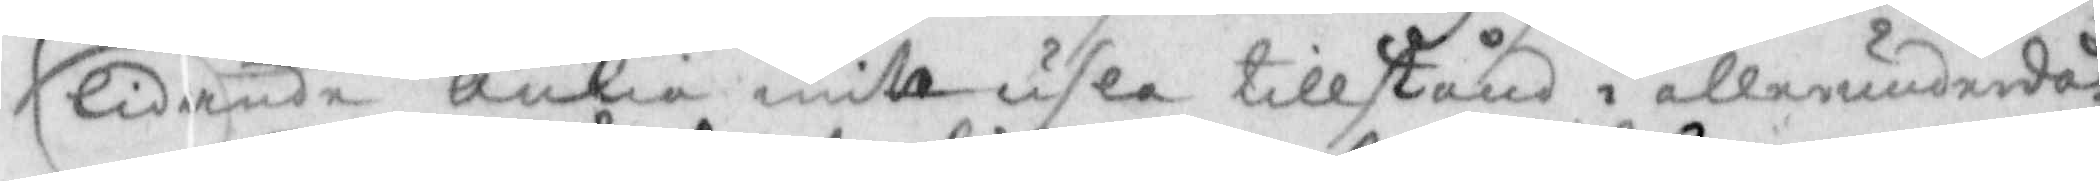lidande änkia mitt usla tillstånd i allerunderdod
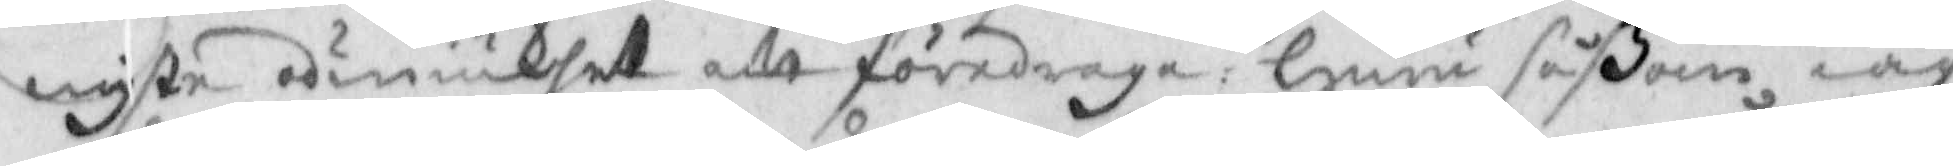wyste odmiukhett att föredraga: Huru såßom iag
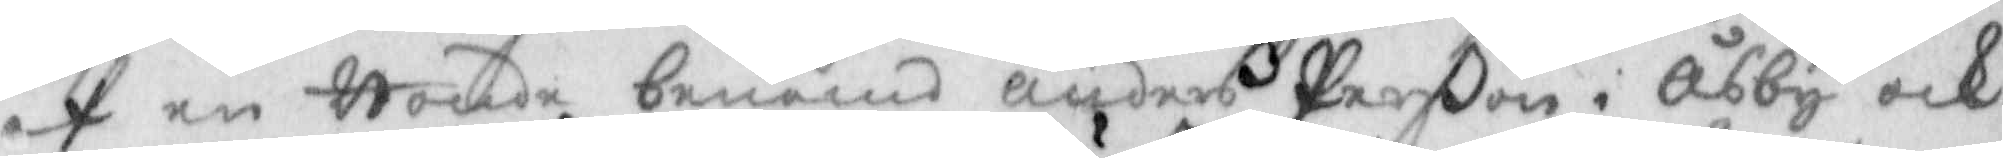af en Bonde benämnd Anders Perßon i Åbby och
